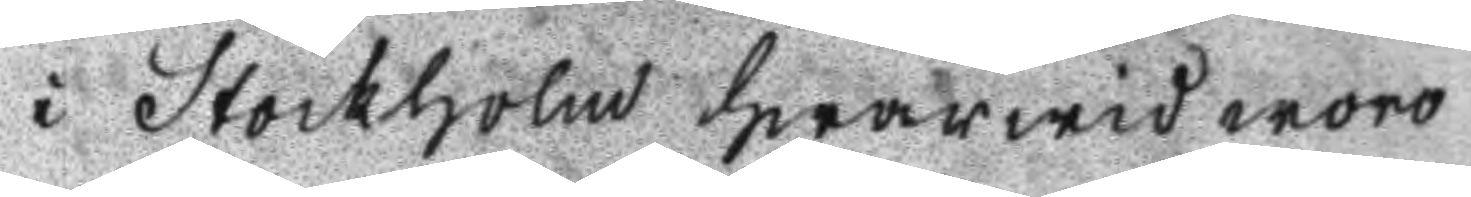i Stockholm hwarwid woro
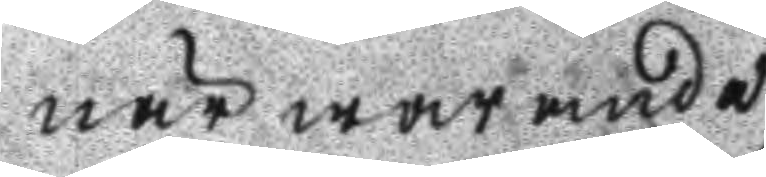närwarande
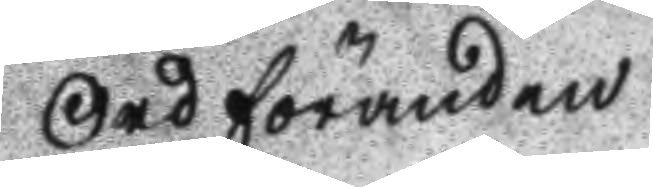Ordföranden
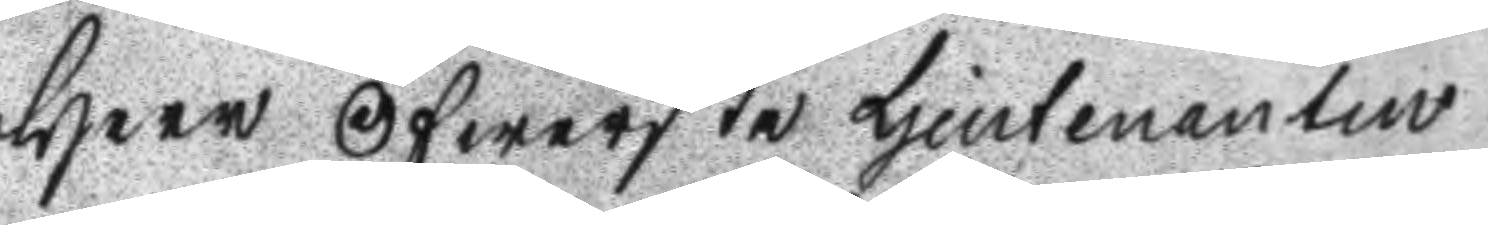Herr Öfwerste Ljeutenanten
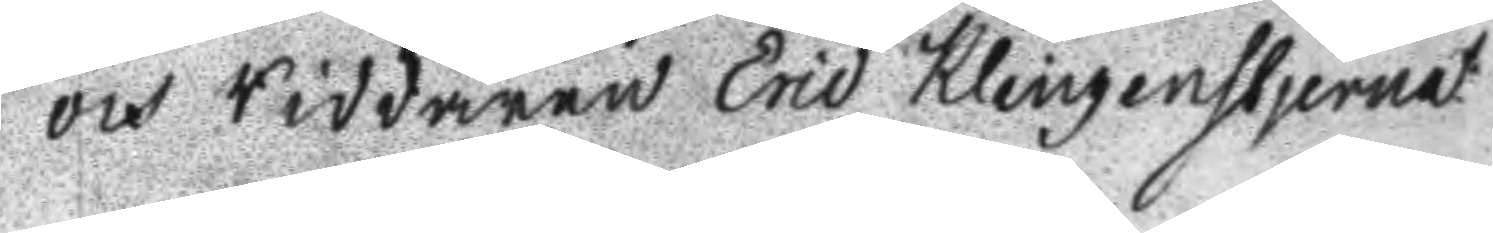och Riddaren Eric Klingenstjerna
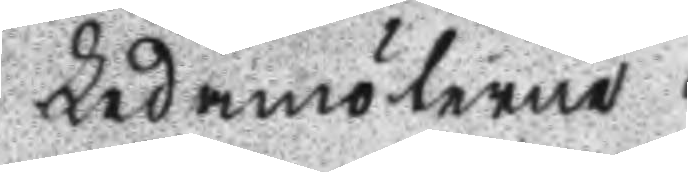Ledamöterne
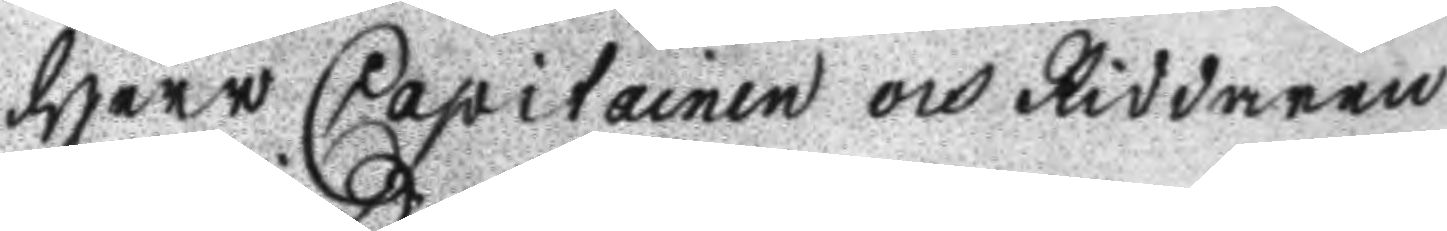Herr Capitainen och Riddaren
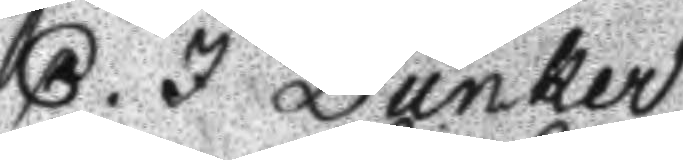C. J. Dunker
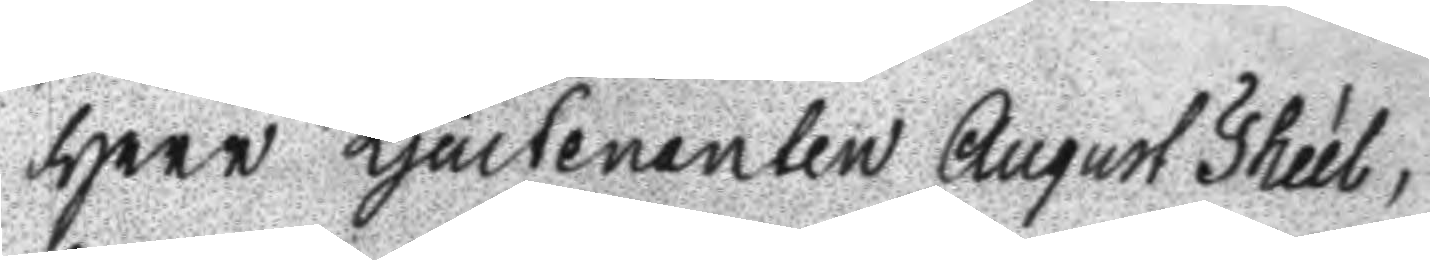Herr Ljeutenaten August Theél,
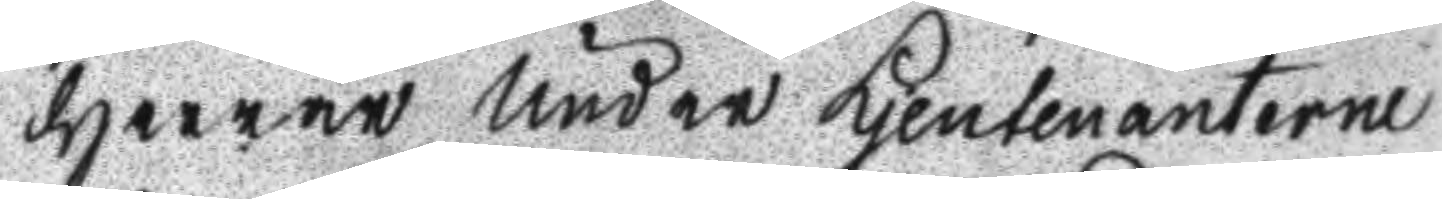Herrar Under Ljeutenanterne
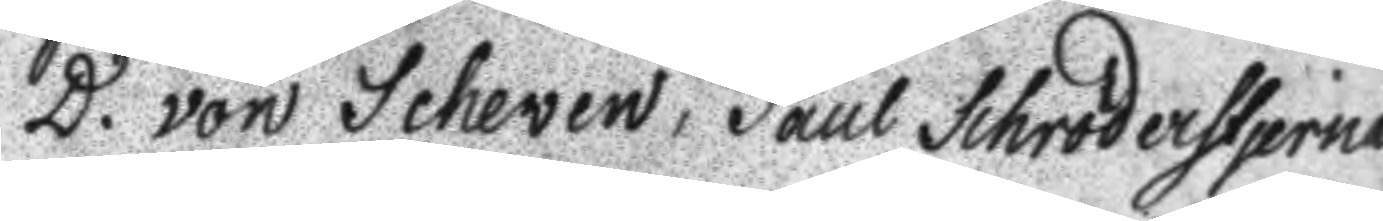D. von Scheven, Paul Schröderstjerna
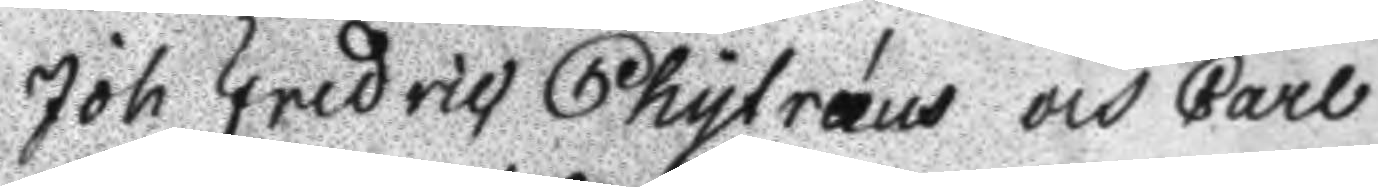Joh Fredric Chytræus och Carl
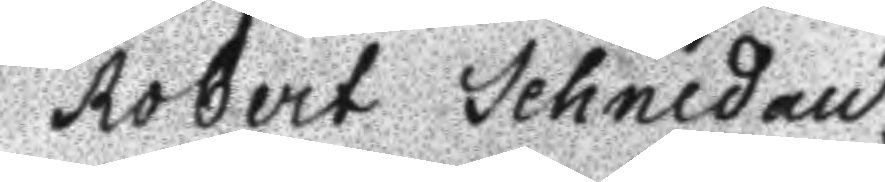Robert Schnedau.
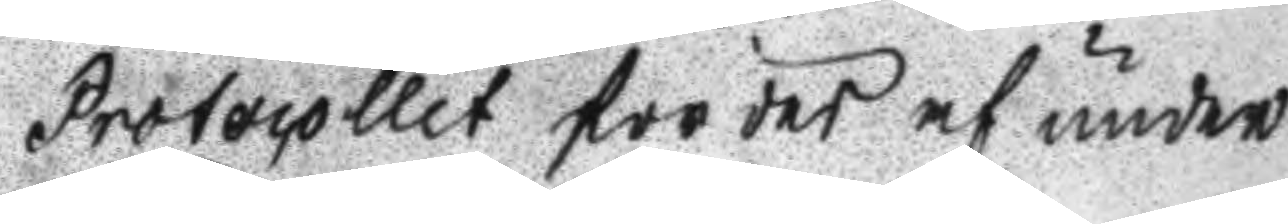Protocollet fördes af under
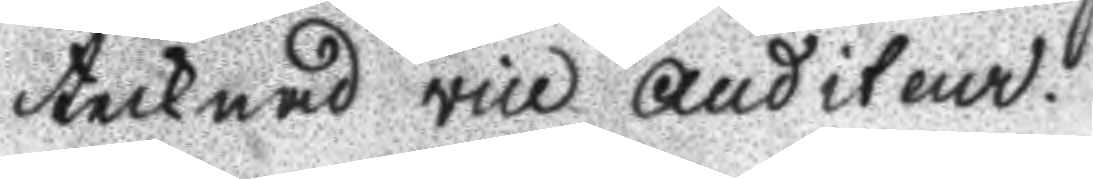tecknad vice auditeur.
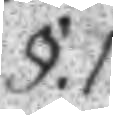§.1.
